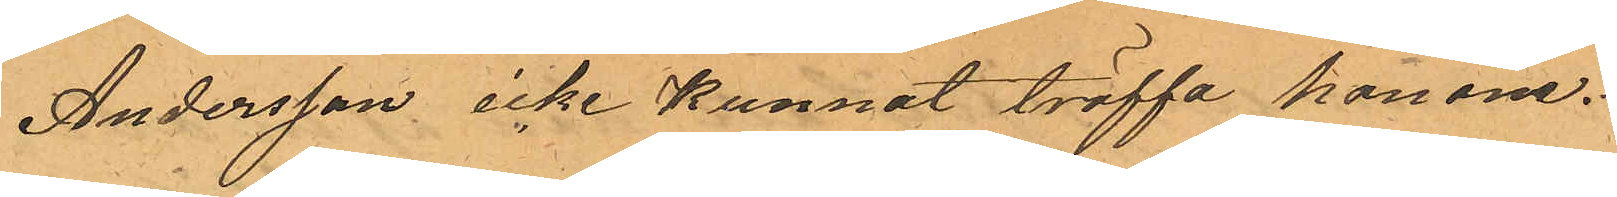Andersson icke kunnat träffa honom.
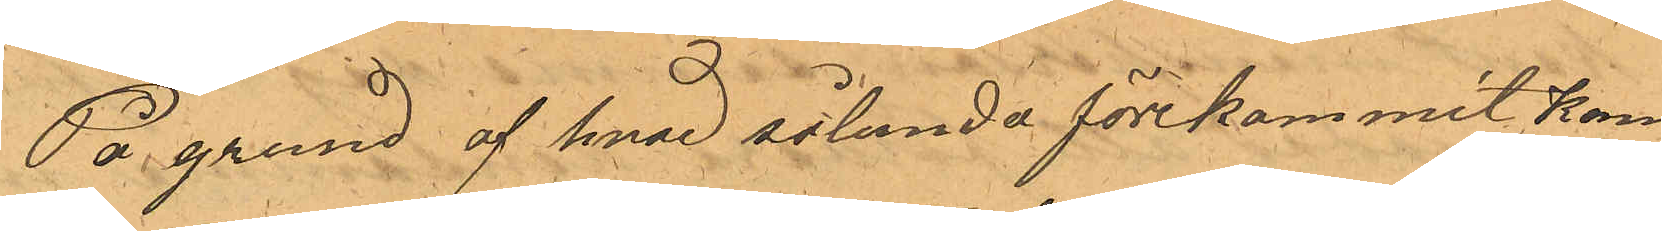På grund af hvad sålunda förekommit kom¬
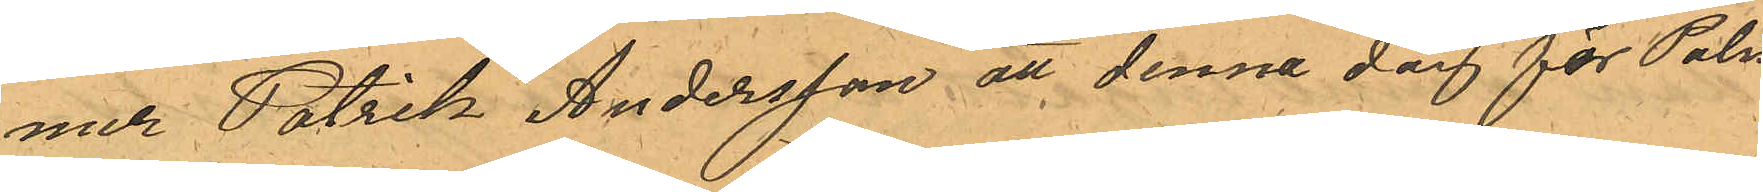mer Patrik Andersson att denna dag för Polis¬
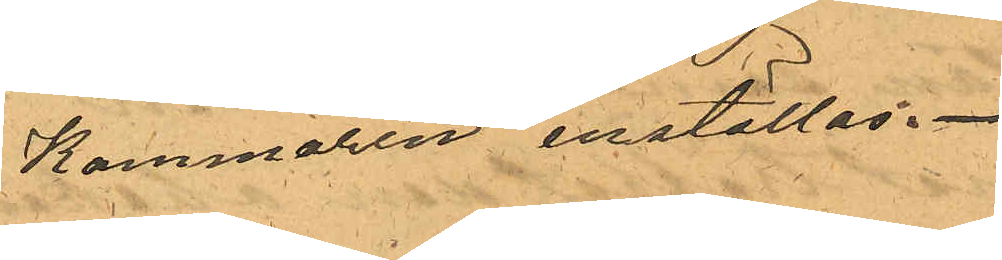Kammaren inställas.
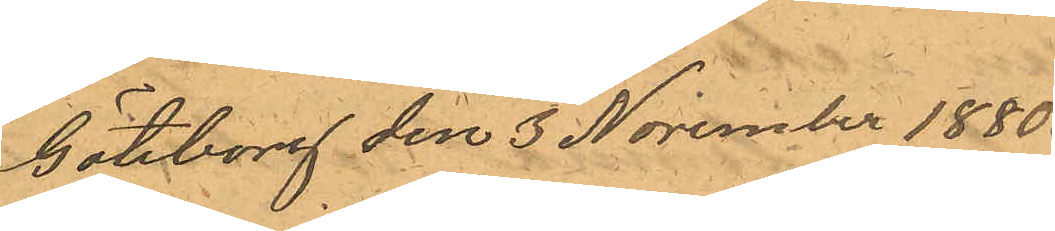Göteborg den 3 November 1880.
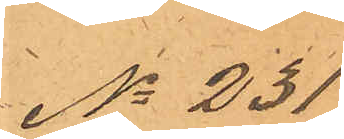No 231
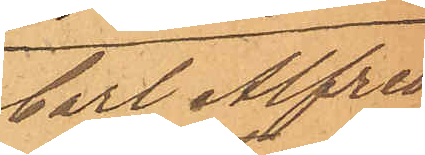Carl Alfred
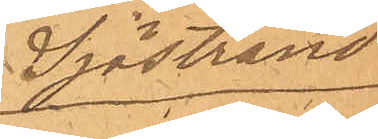Sjöstrand
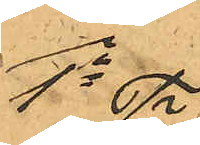1o
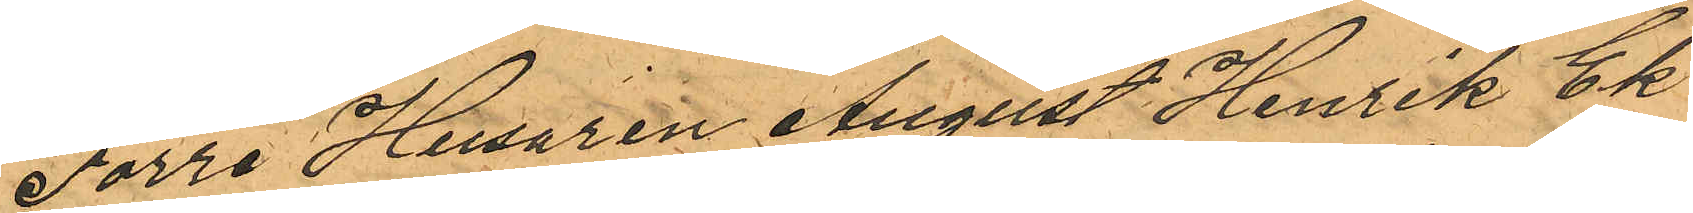Förre Husaren August Henrik Ek¬
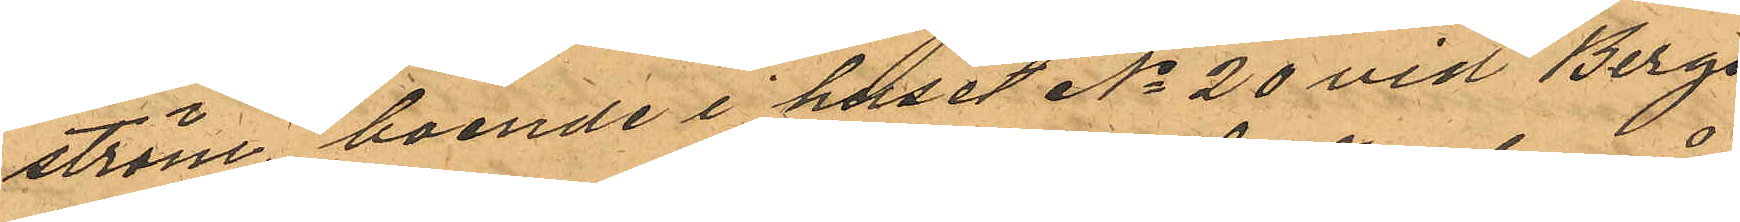ström, boende i huset No 20 vid Bergs¬
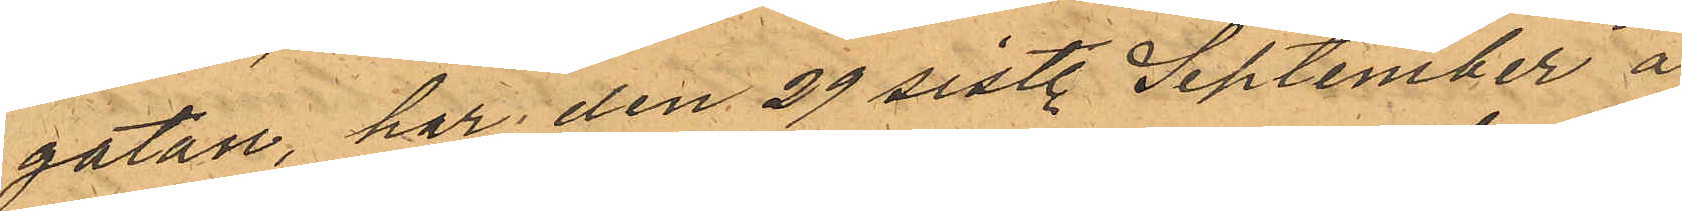gatan, har den 29 sistl. September å
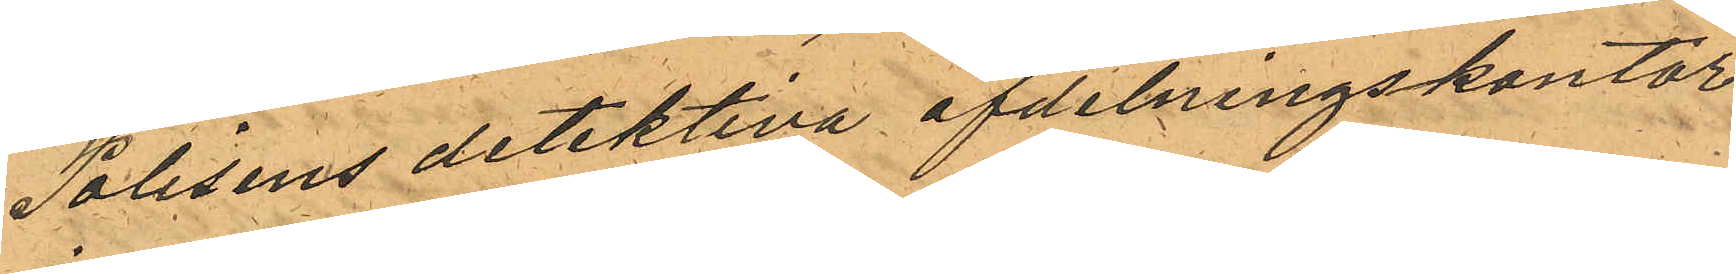Polisens detektiva afdelningskontor
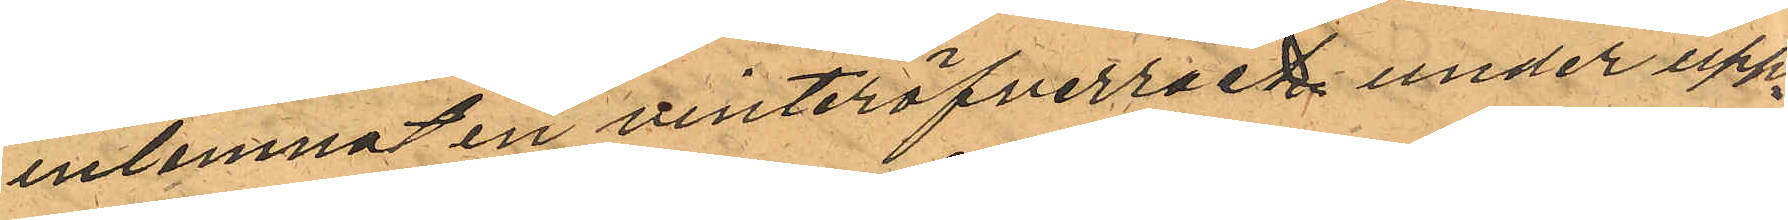inlemnat en vinteröfverrock under upp¬
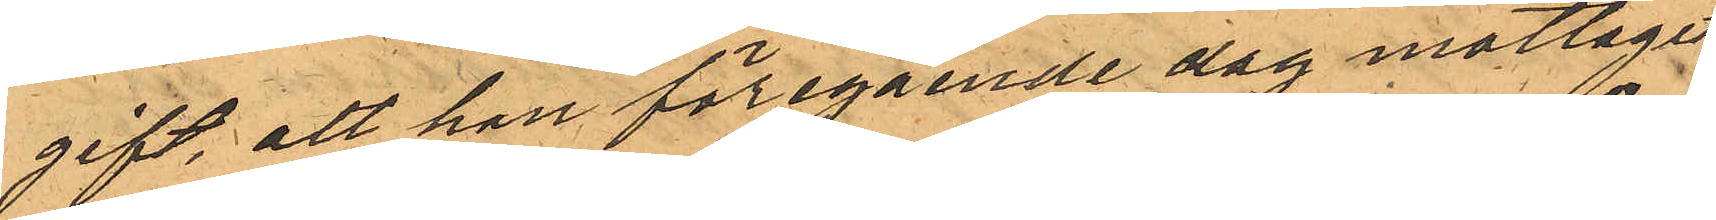gift, att han föregående dag mottagit
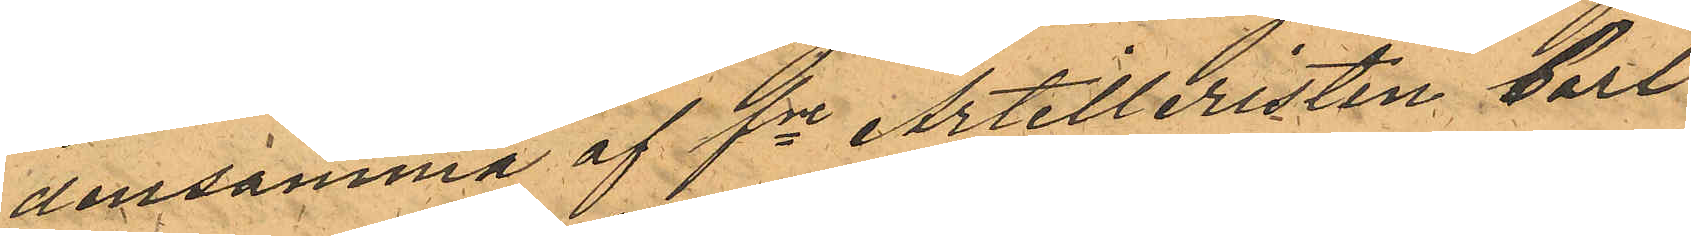densamma af fre Artilleristen Carl
